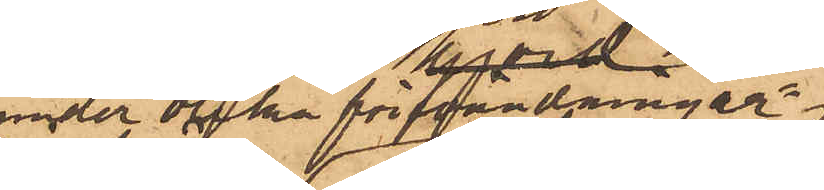under olika förevändningar.
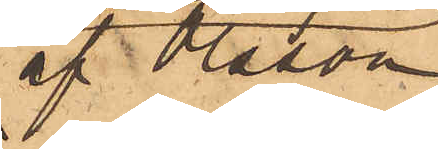af Olsson
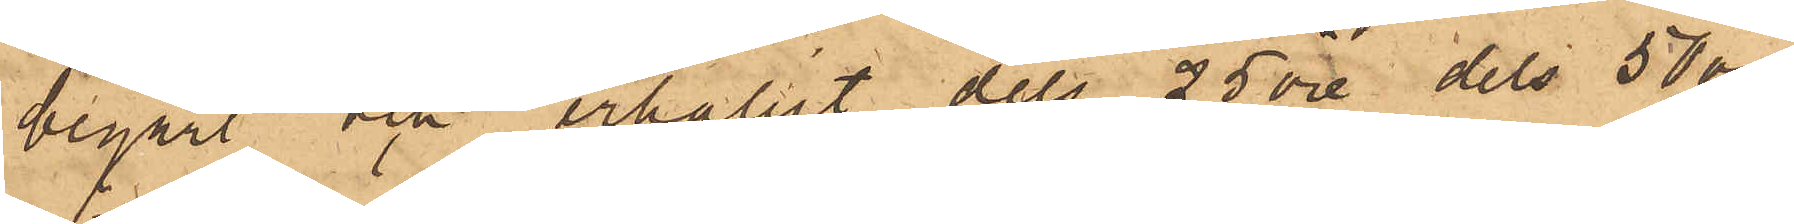begärt och erhållit dels 25 öre, dels 50 öre,
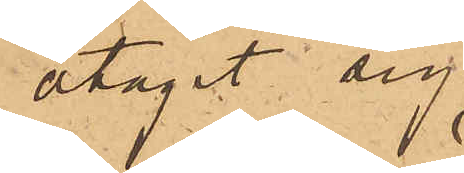åtagit sig
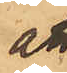at
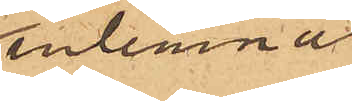inlemna
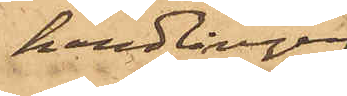handlingen
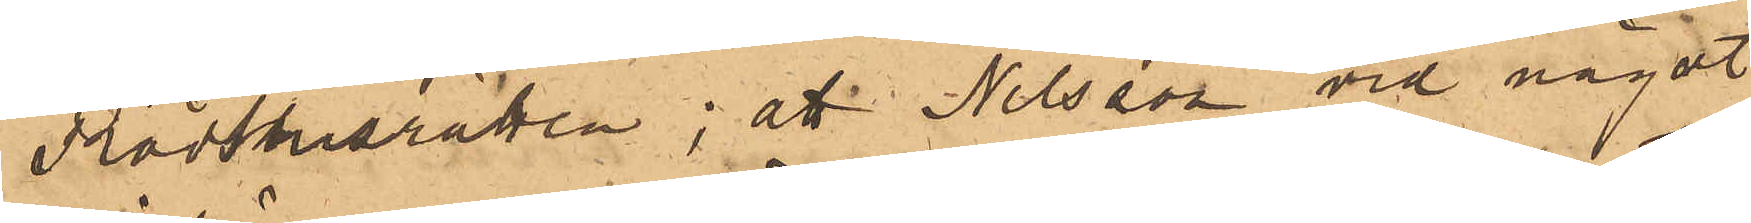Rådhusrätten; att Nilsson vid något
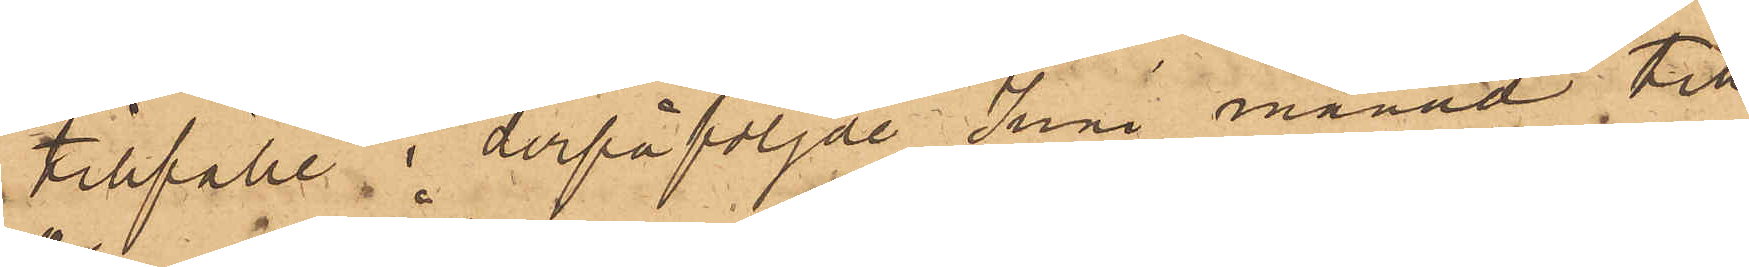tillfälle i derpåföljde Juni månad till
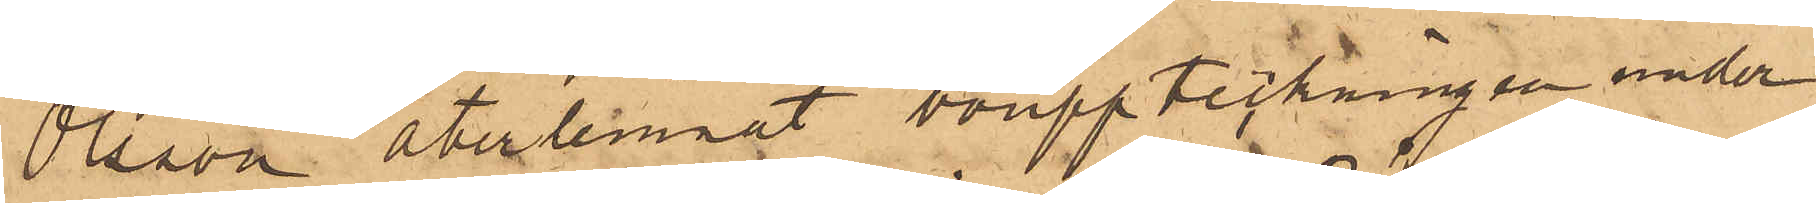Olsson återlemnat bouppteckningen under
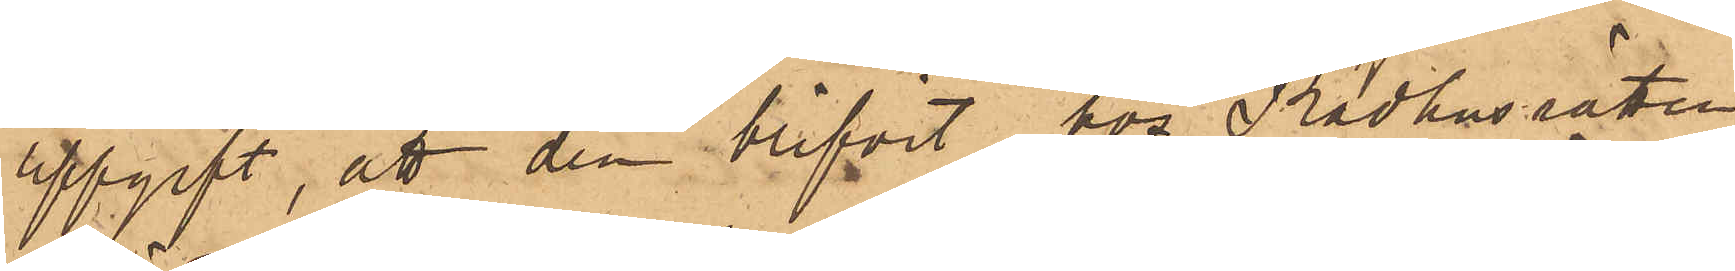uppgift, att den blifvit hos Rådhusrätten
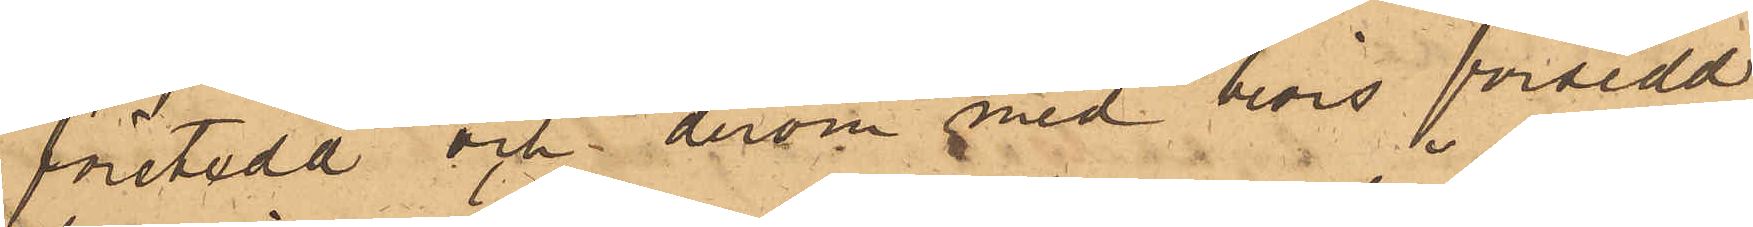företedd och derom med bevis försedd
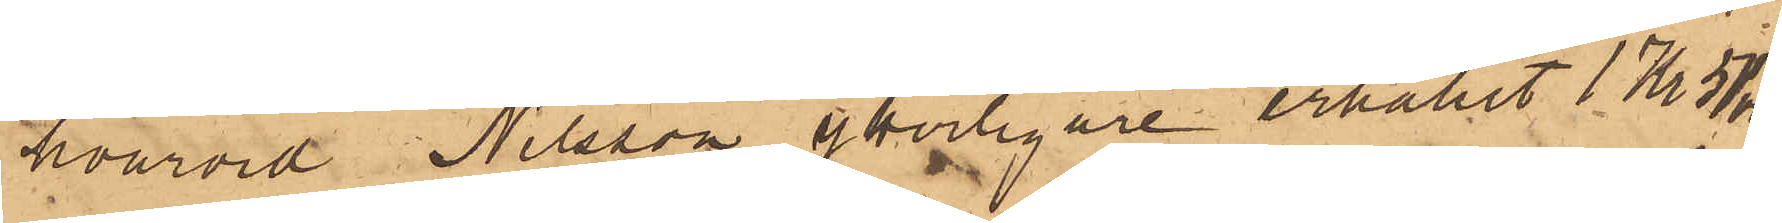hvarvid Nilsson ytterligare erhållit 1 Kr 50 öre
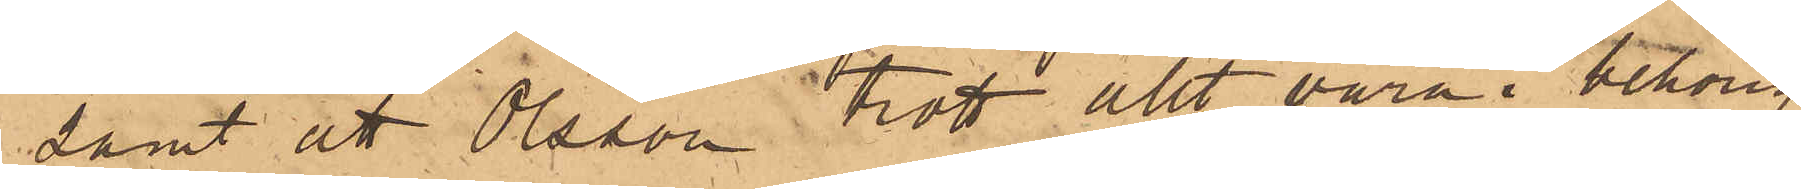samt att Olsson trott allt vara i behörig
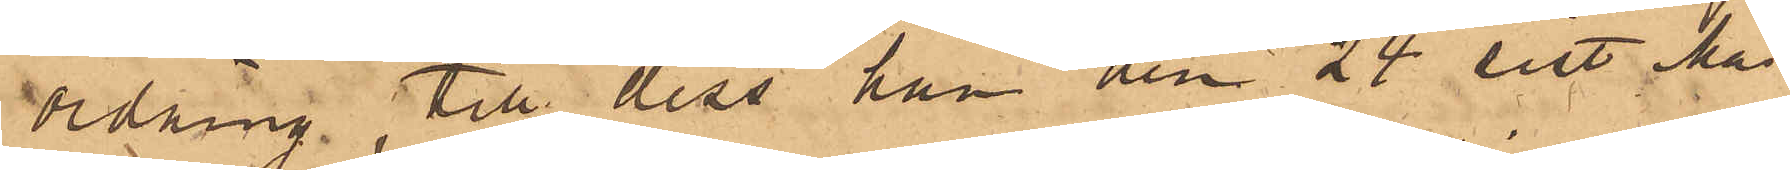ordning, till dess han den 24 sist. Maj
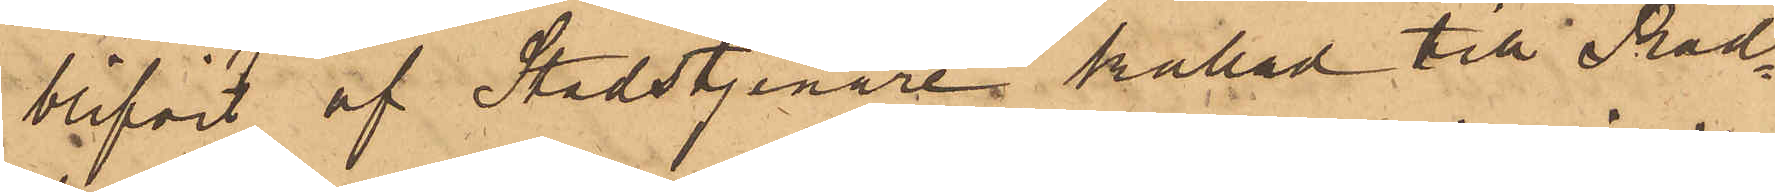blifvit af Stadstjenare kallad till Råd¬
